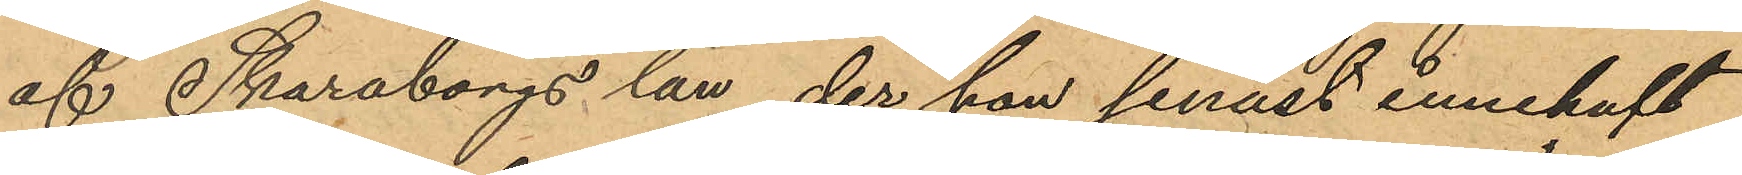af Skaraborgs län, der han senast innehaft
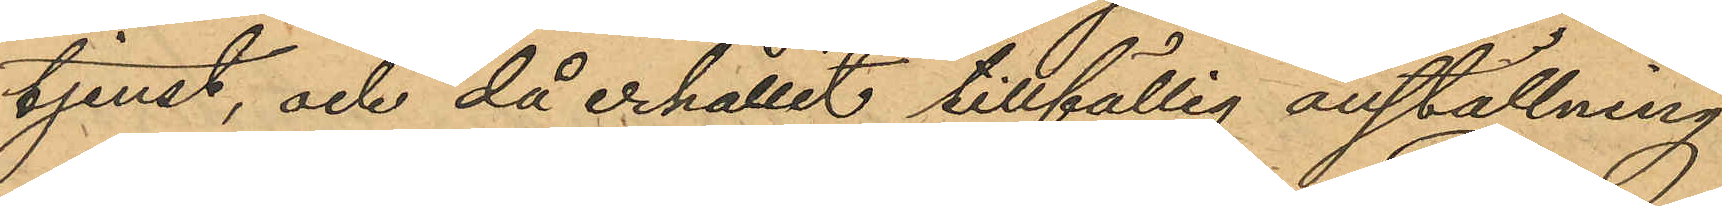tjenst, och då erhållit tillfällig anställning
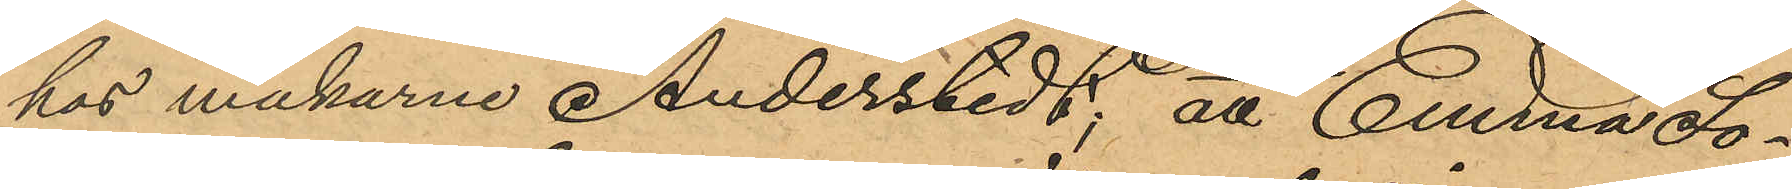hos makarne Anderstedt; att Emma So¬
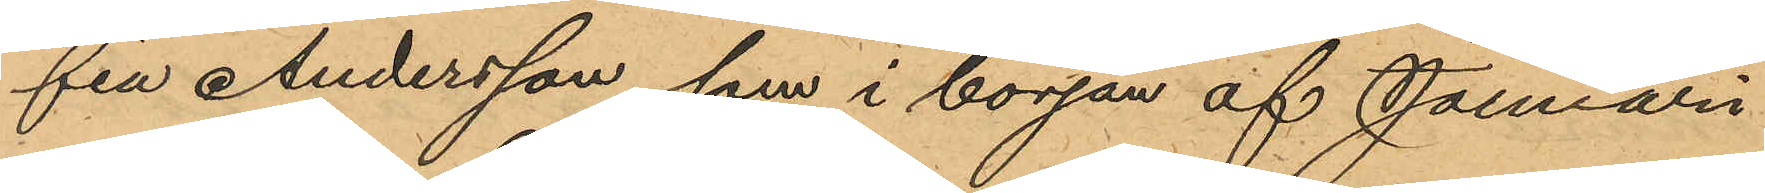fia Andersson, som i början af Januari
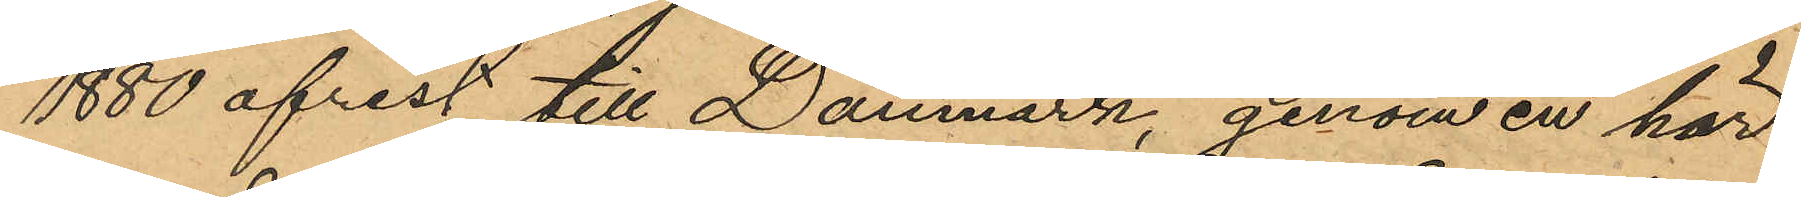1880 afrest till Danmark, genom en här
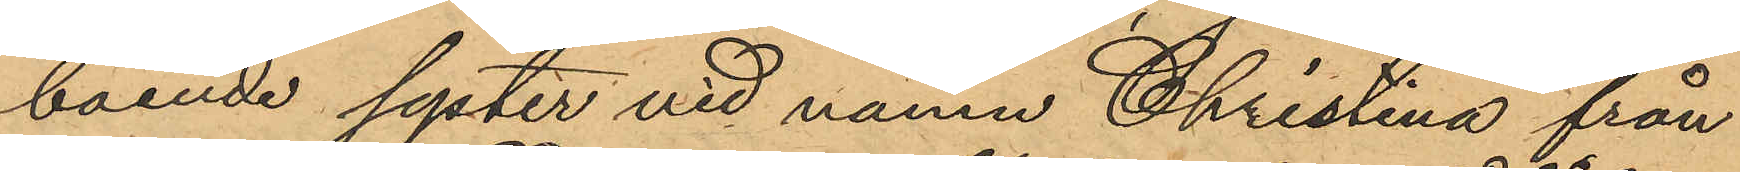boende syster vid namn Christina från
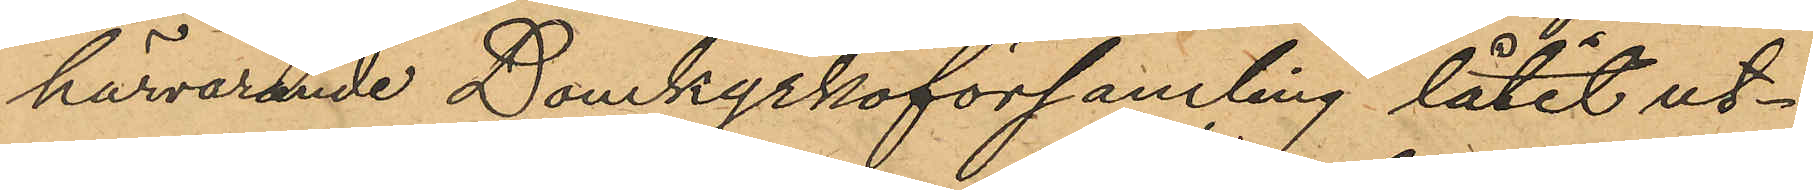härvarande Domkyrkoförsamling låtit ut¬
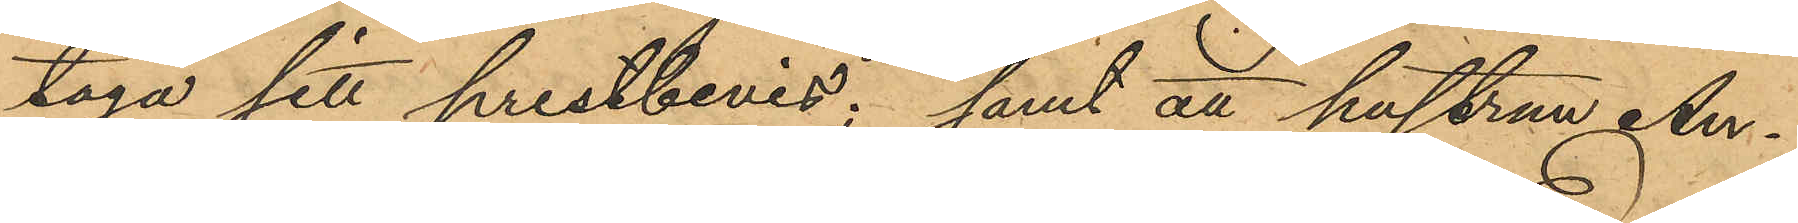taga sitt prestbevis; samt att hustrun An¬
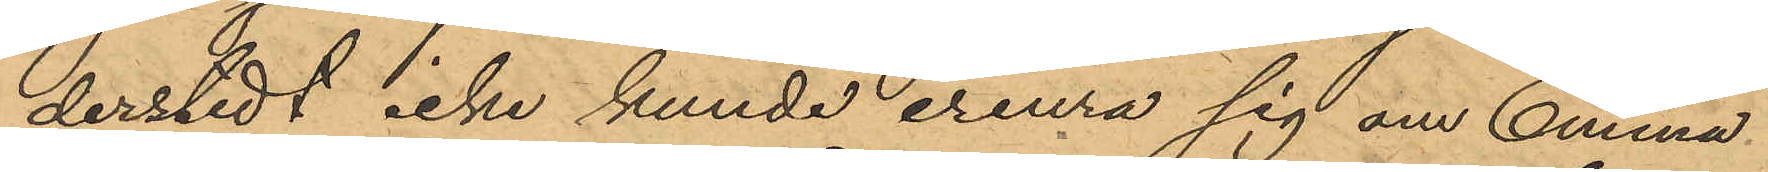derstedt icke kunde erinra sig om Emma¬
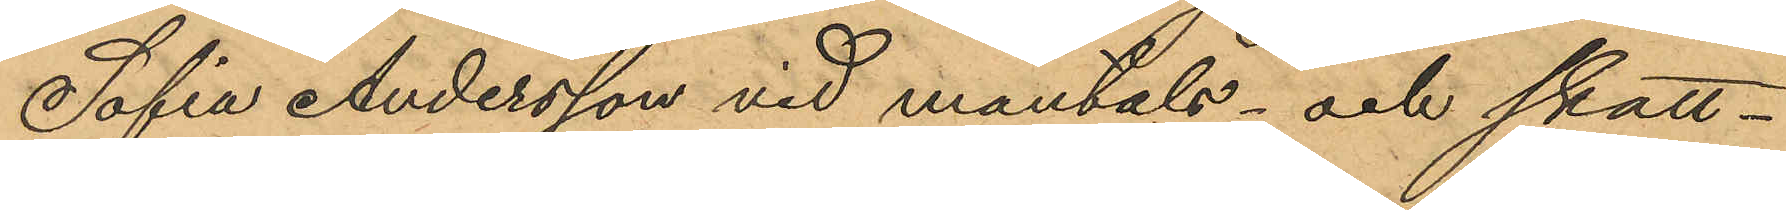Sofia Andersson vid mantals- och skatt¬
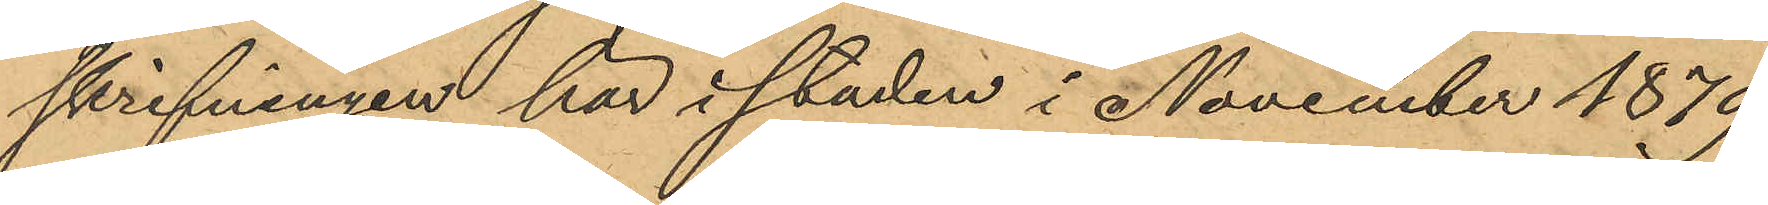skrifningen här i staden i November 1879
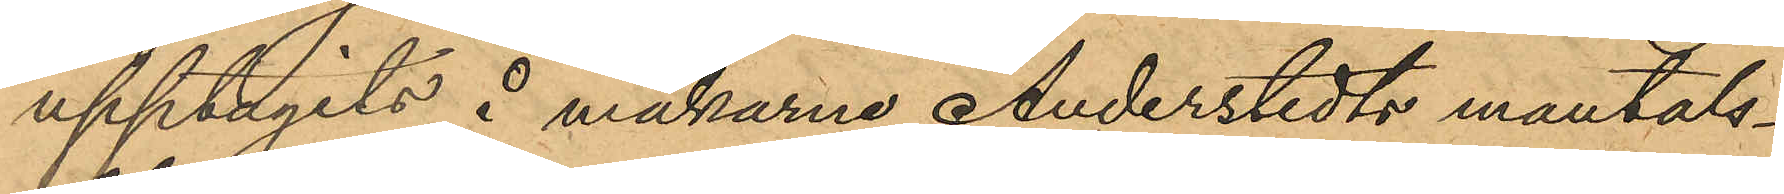upptagits å makarne Anderstedts mantals¬
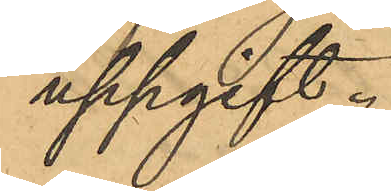uppgift.
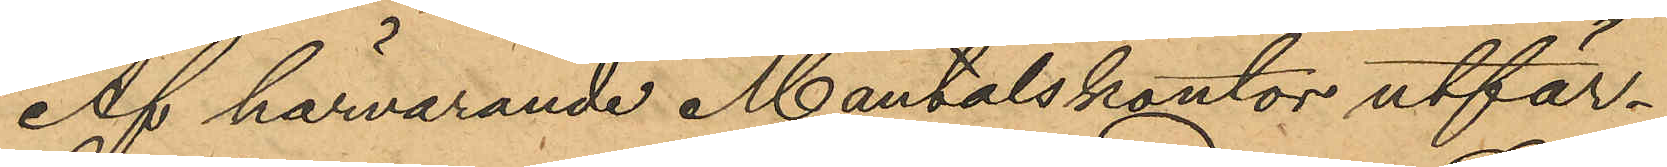Af härvarande Mantalskontor utfär¬
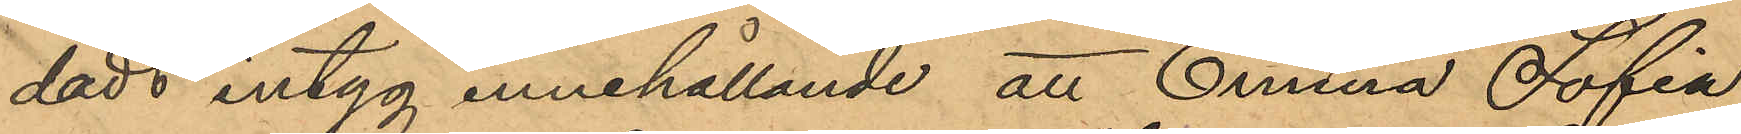dadt intyg innehållande att Emma Sofia
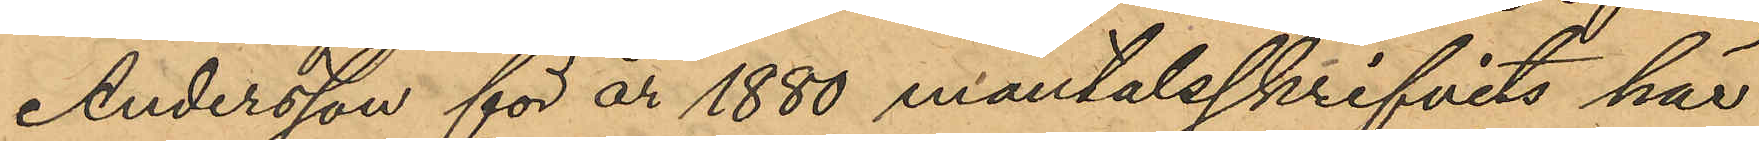Andersson för år 1880 mantalsskrifvits här
